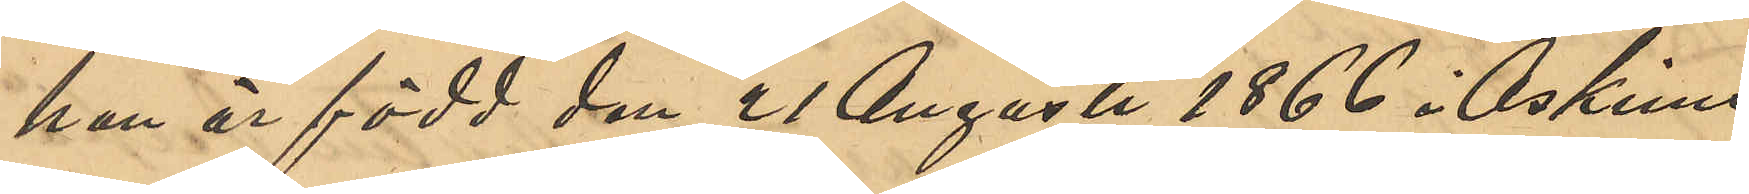han är född den 21 Augusti 1866 i Askims
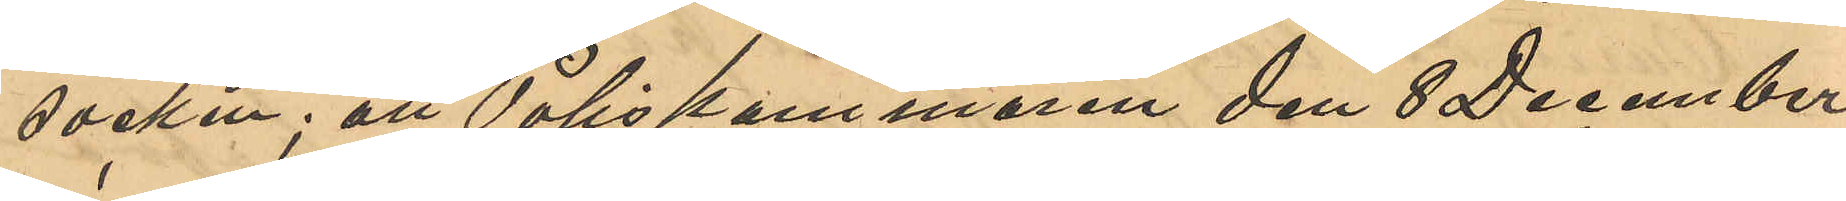socken; att Poliskammaren den 8 December
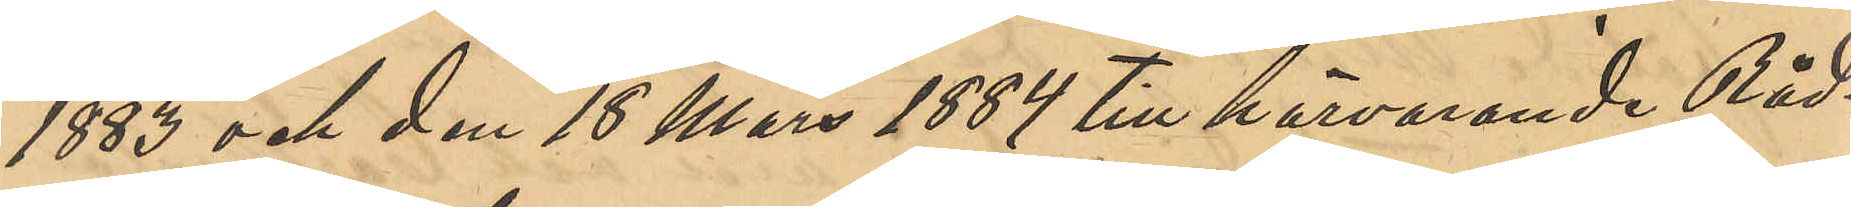1883 och den 18 Mars 1884 till härvarande Råd¬
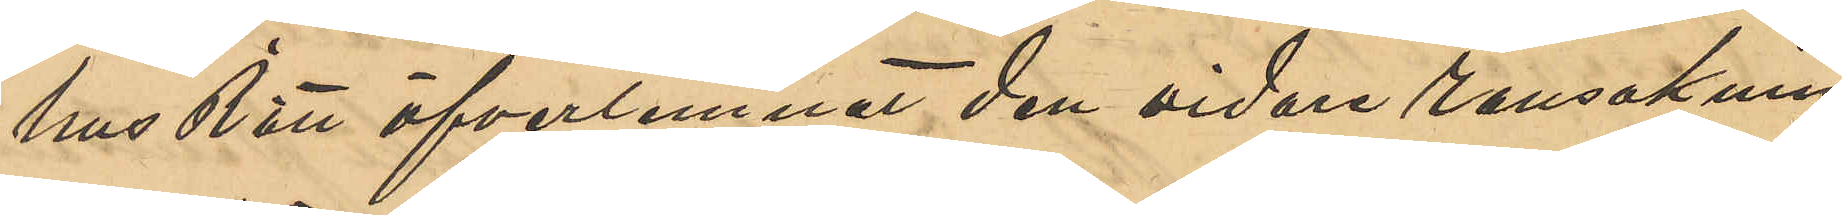hus Rätt öfverlemnat den vidare ransaknin¬
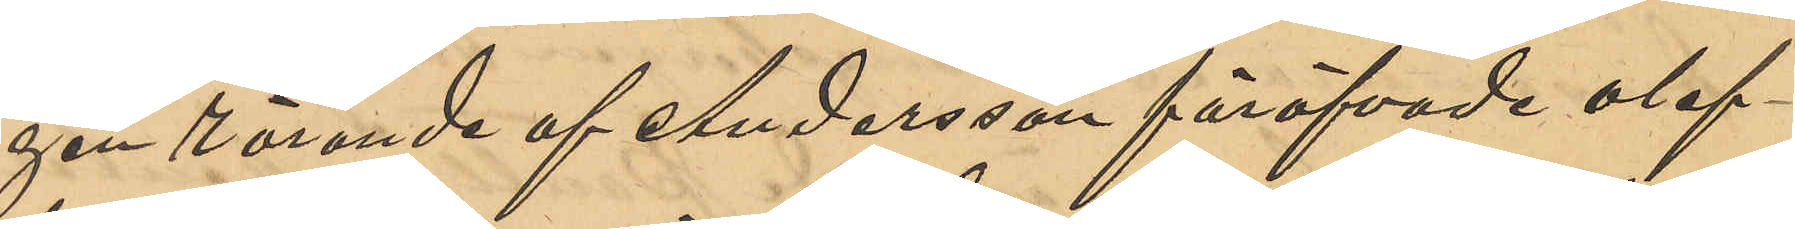gen rörande af Andersson föröfvade olof¬
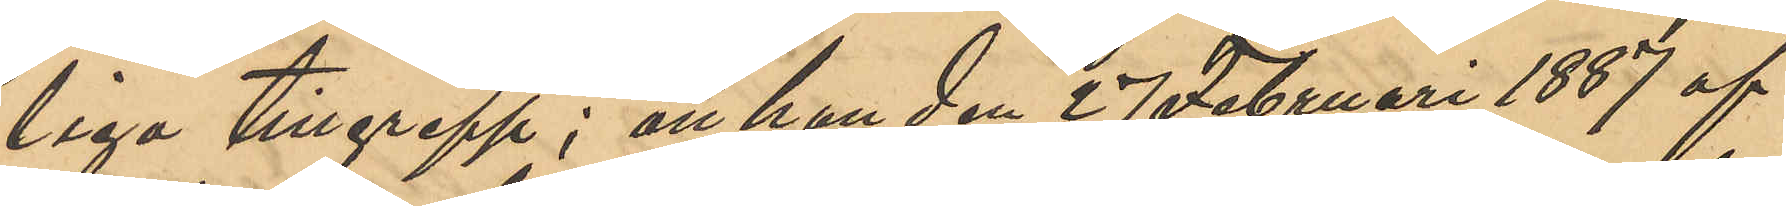liga tillgrepp; att han den 27 Februari 1887 af
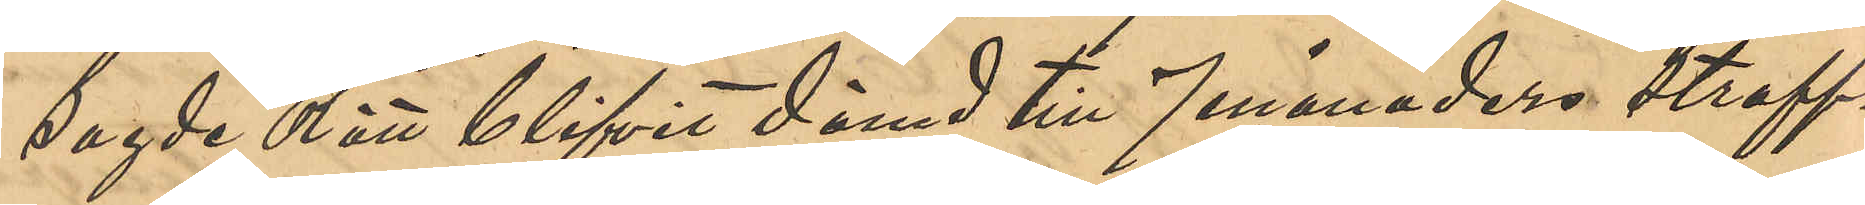sagde Rätt blifvit dömd till 7 månaders straff¬
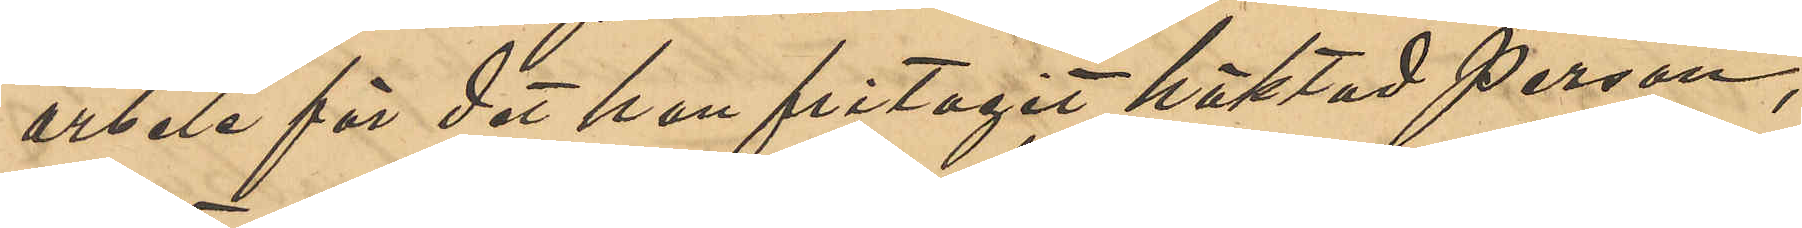arbete för det han fritagit häktad person;
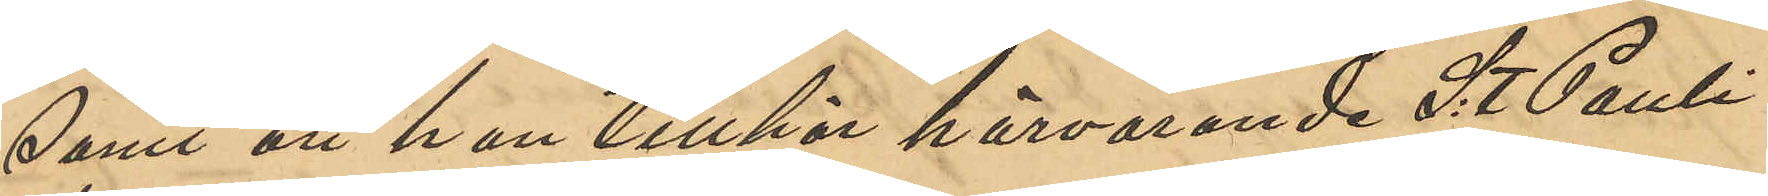samt att han tillhör härvarande S:t Pauli
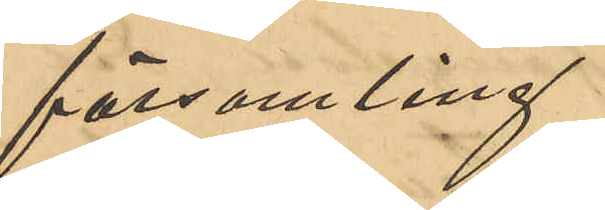församling.
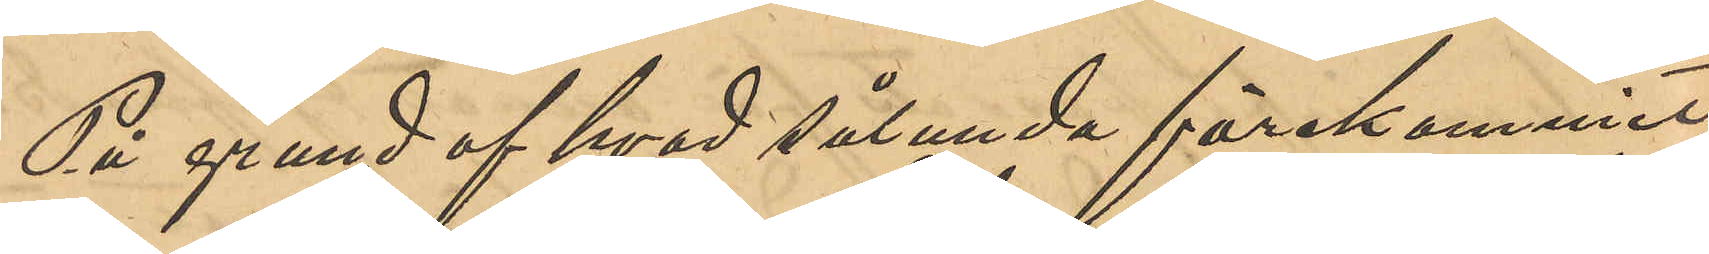På grund af hvad sålunda förekommit,
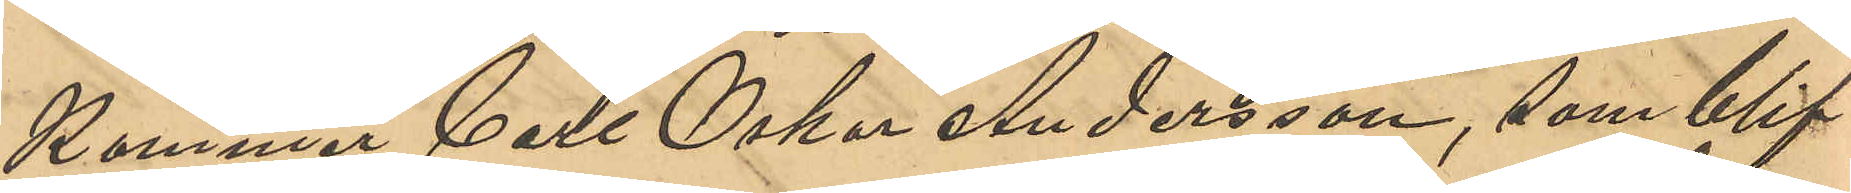Kommer Carl Oskar Andersson, som blif¬
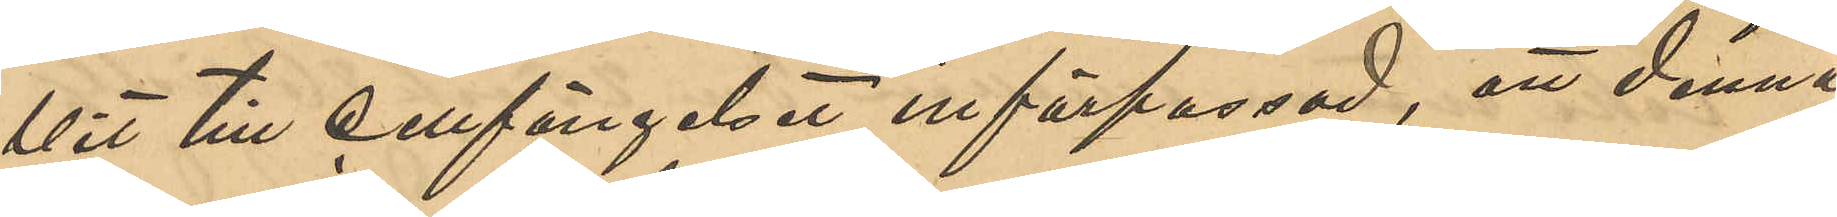vit till cellfängelset införpassad, att denna
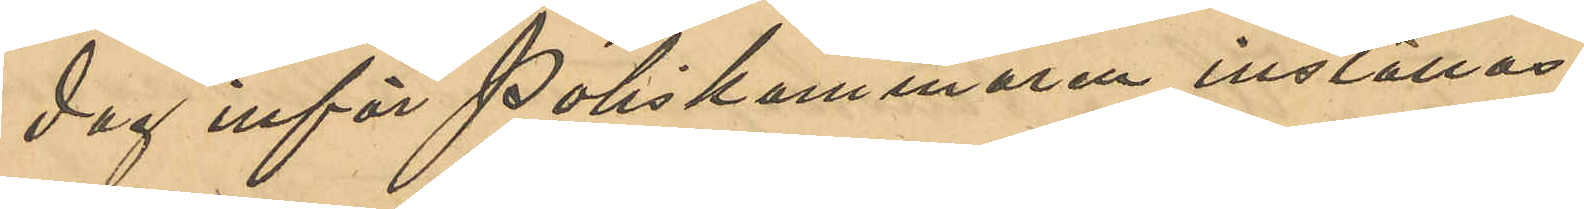dag inför Poliskammaren inställas.
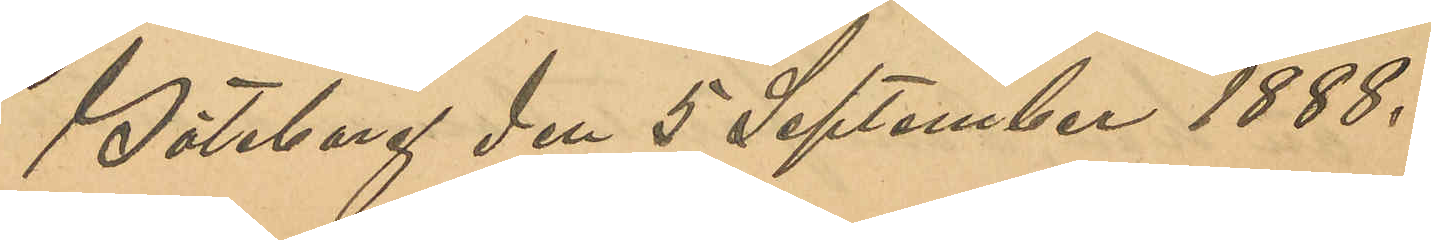Göteborg den 5 September 1888.
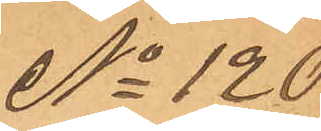No 120
